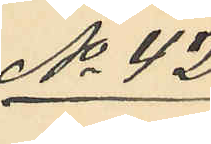No 42
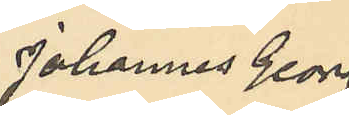Johannes Georg
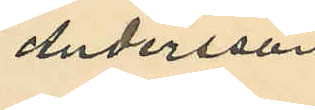Andersson
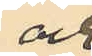och 
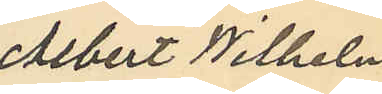Albert Wilhelm
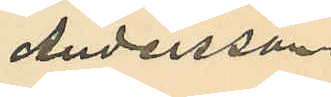Andersson.
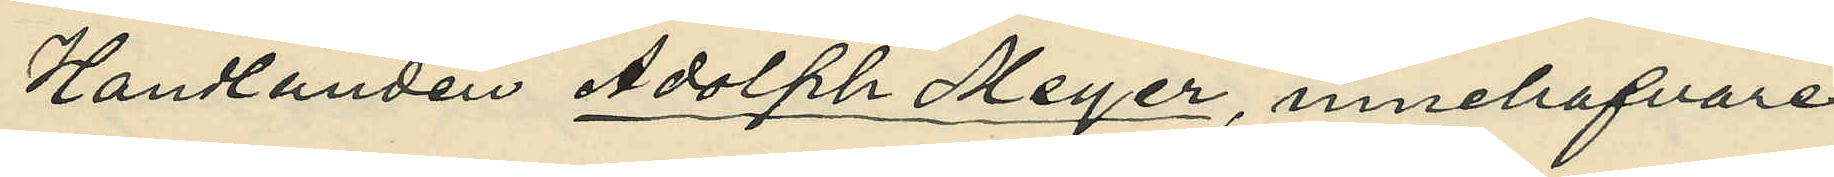Handlanden Adolph Meyer, innehafvare 
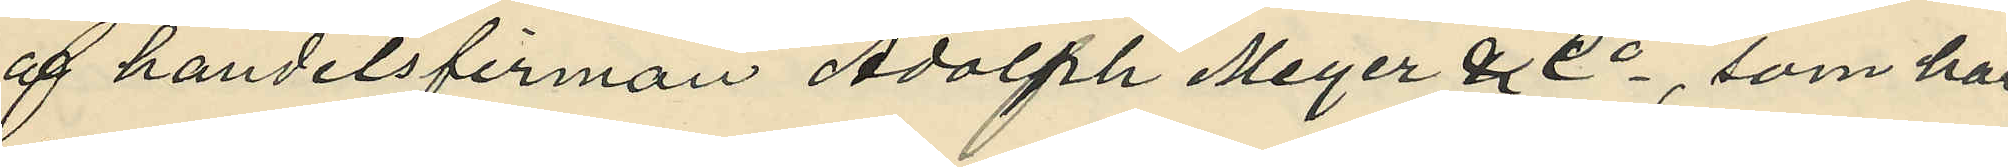af handelsfirman Adolph Meyer & Co, som har
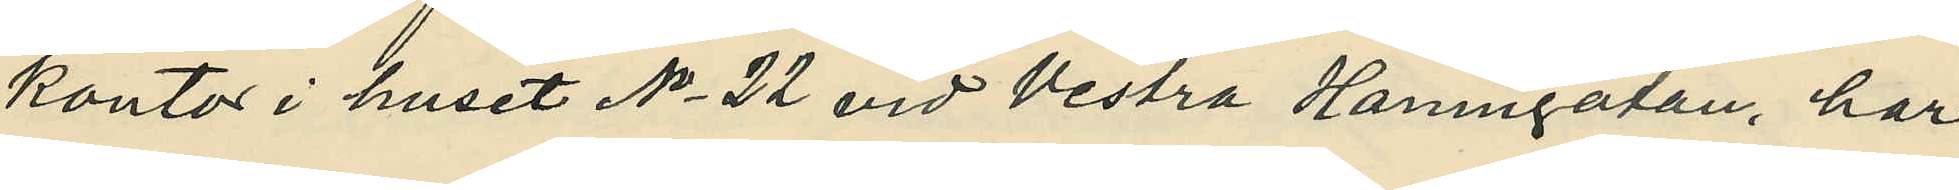kontor i huset No 22 vid Vestra Hamngatan har 
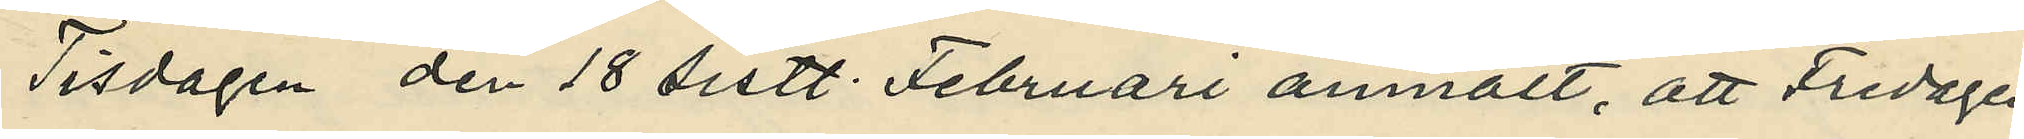Tisdagen den 18 sistl. Februari anmält, att Fredagen
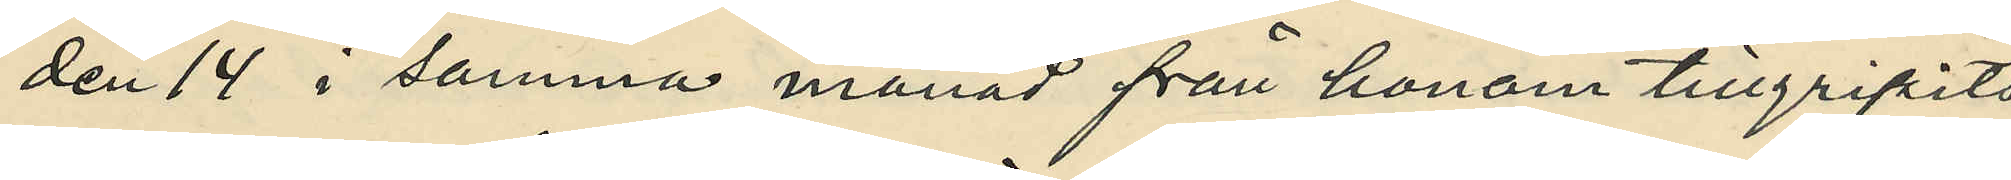den 14 i samma månad från honom tillgripits
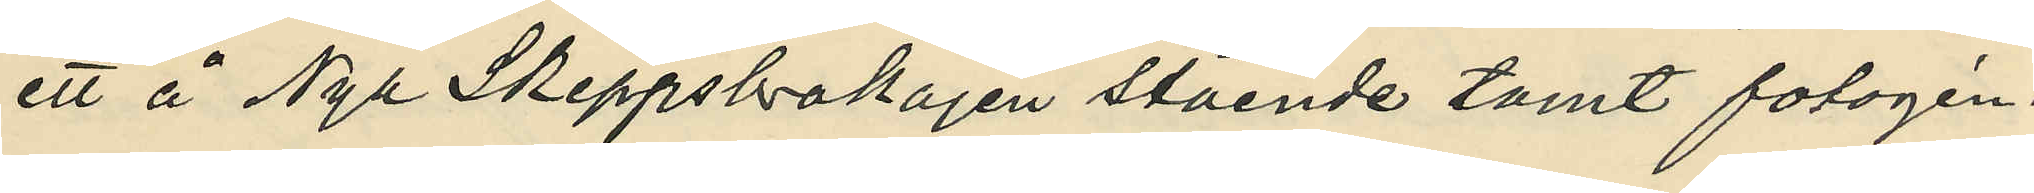ett i Nya Skeppsbrokajen stående tomt fotogén¬
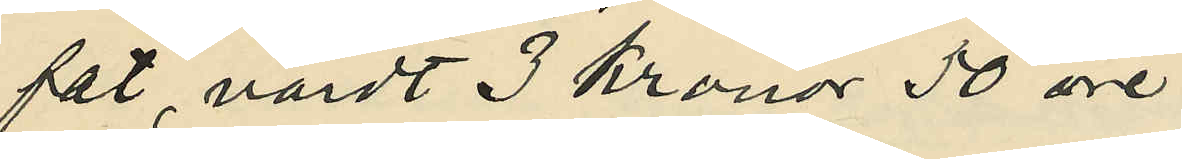fat, värdt 3 kronor 50 öre.
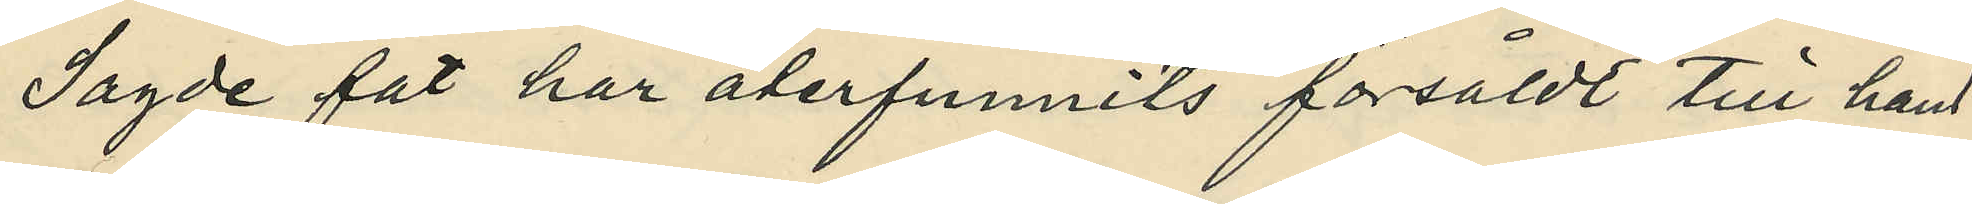Sagde fat har återfunnits försåldt till hand¬
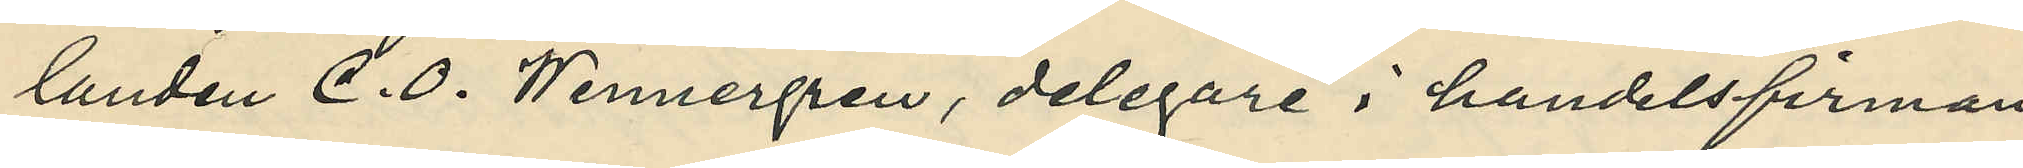landen C. O. Wennergren i handelsfirman 
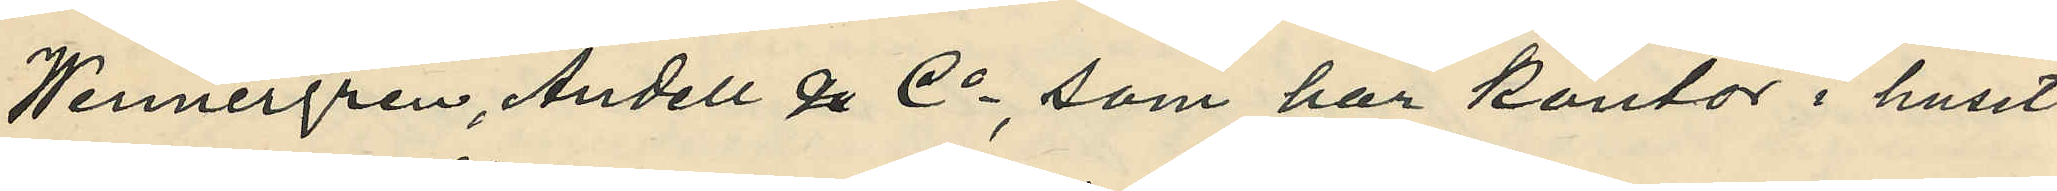Wennergren, Andell & Co, som har kontor i huset
